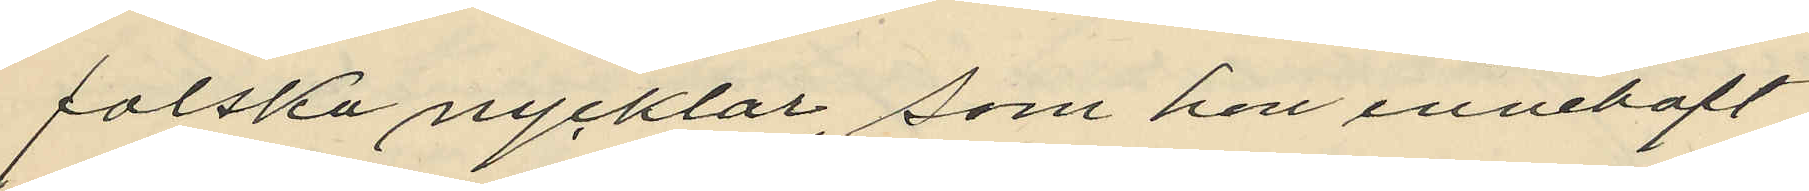falska nycklar, som hon innehaft
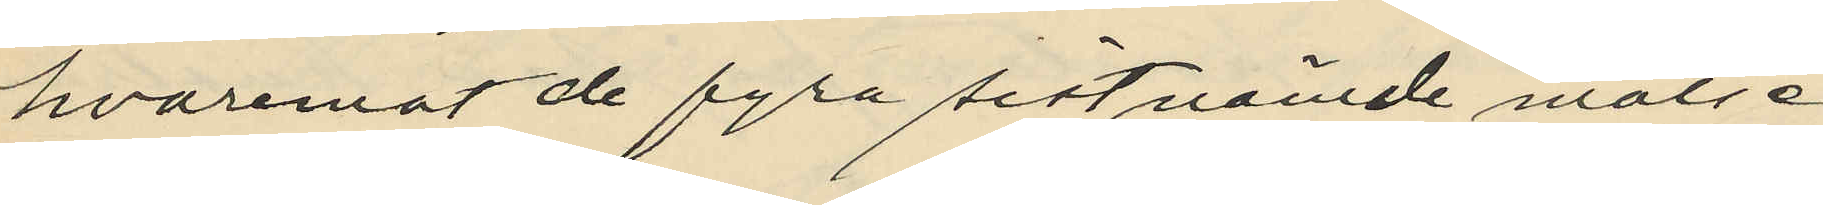hvaremot de fyra sistnämde målse¬
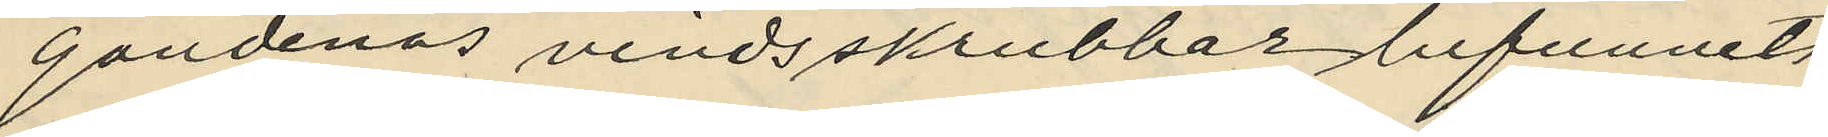gandenas vindsskrubbar befunnits
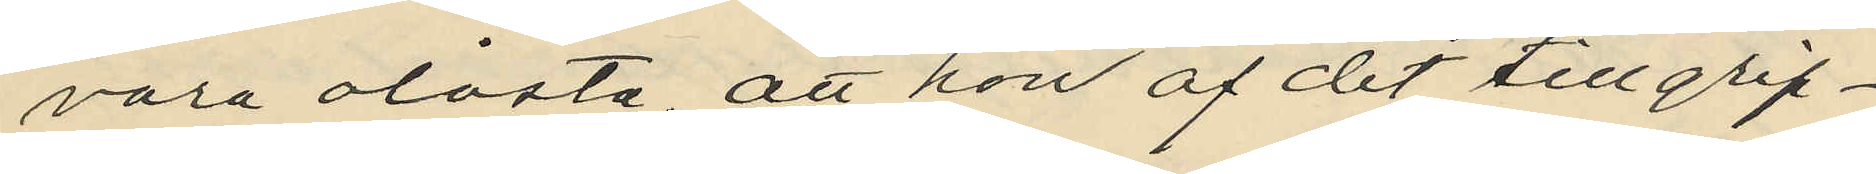vara olåsta att hon af det tillgrip¬
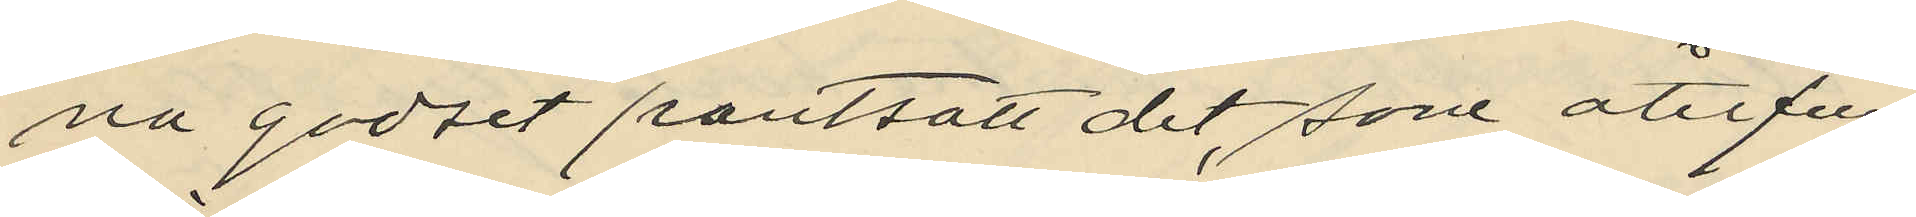na godset pantsatt det, som återfun¬
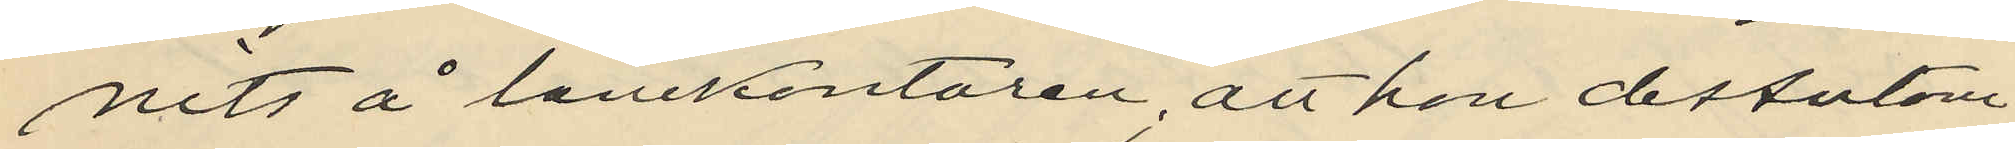nits å lånekontoren; att hon dessutom
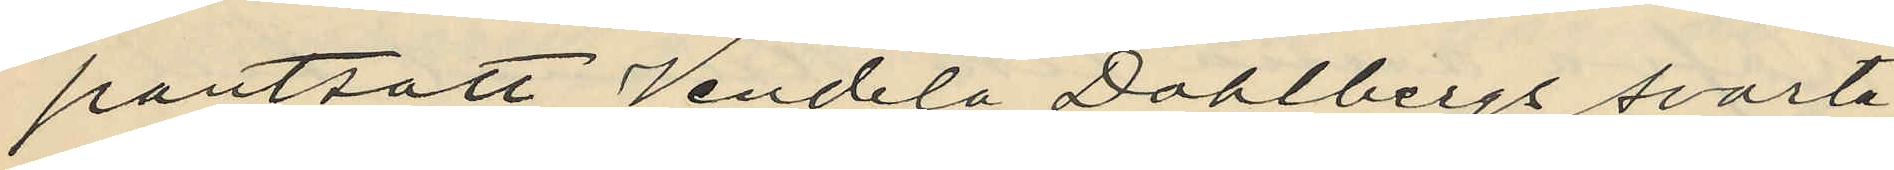pantsatt Vendela Dahlbergs svarta
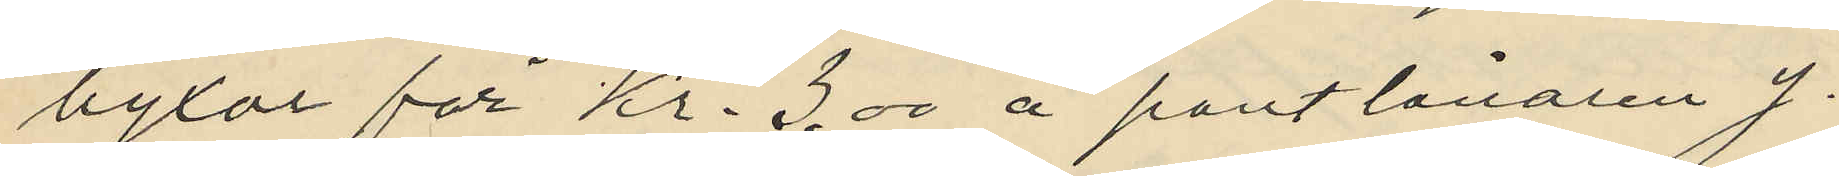byxor för Kr. 3.00 å pantlånaren J.
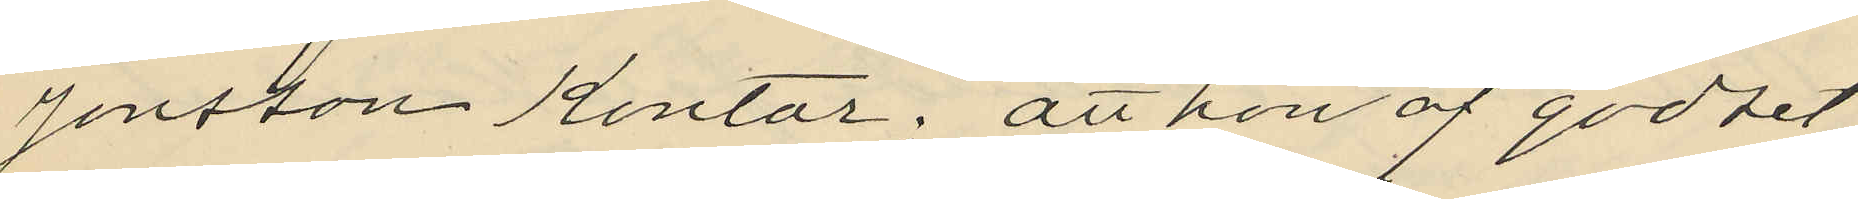Jonsson kontor; att hon af godset
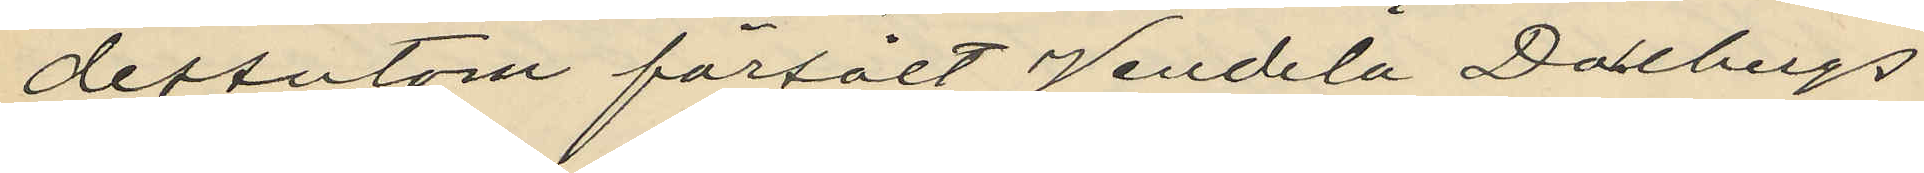dessutom försålt Vandela Dallbergs
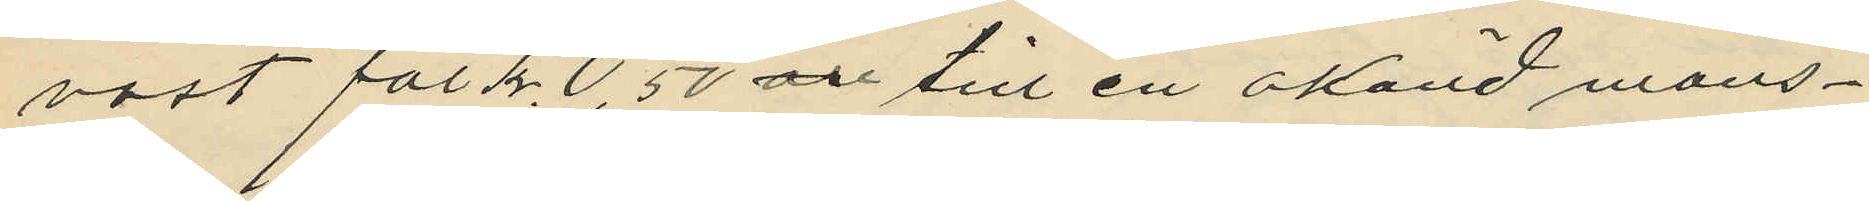väst för Kr. 0,50 öre till en okänd mans¬
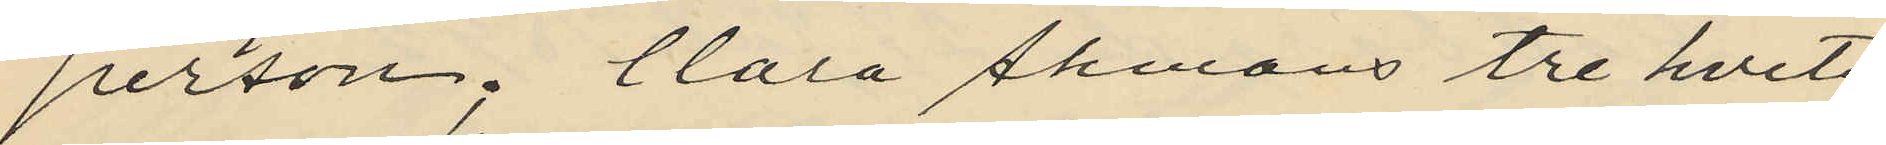person; Clara Åhmans tre hvita
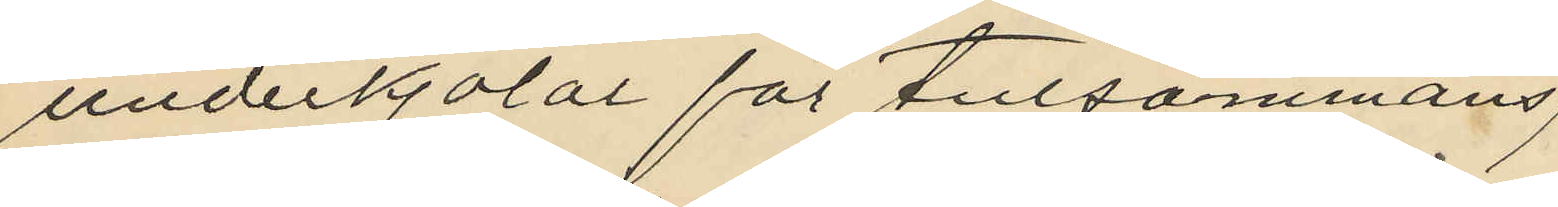underkjolar för tillsammans,
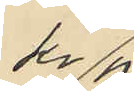Kr 
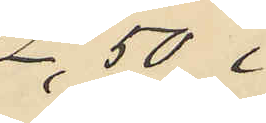2,50 i
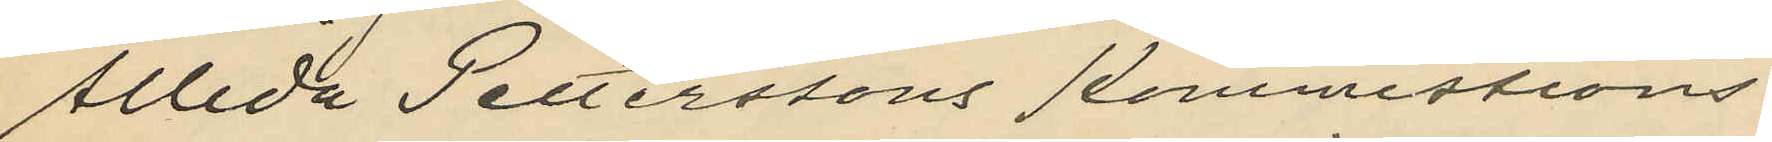Allida Petterssons Kommissions¬
